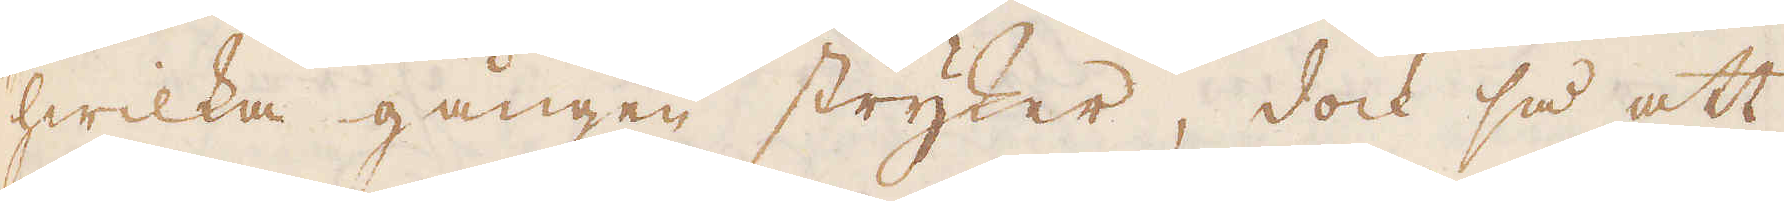hwilka gången stryker, dock så att
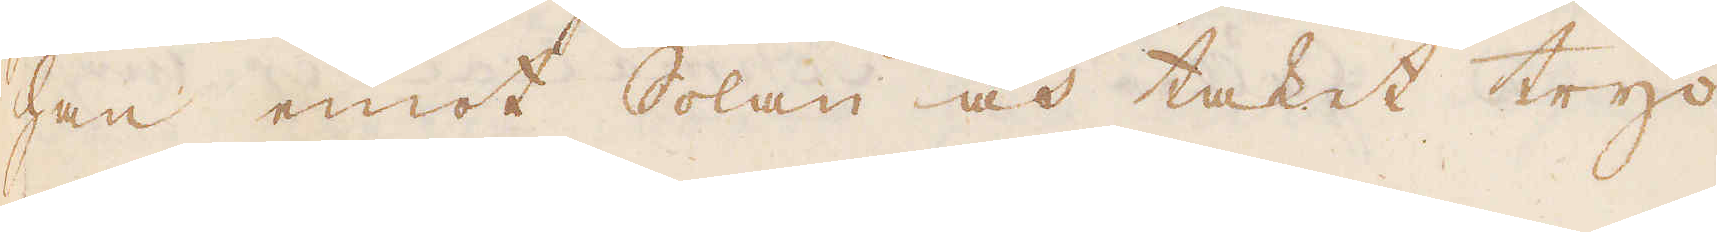han emot Solan och taket tryc-
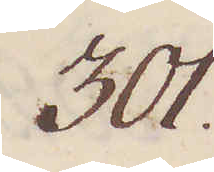301.
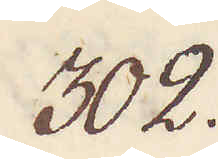302.
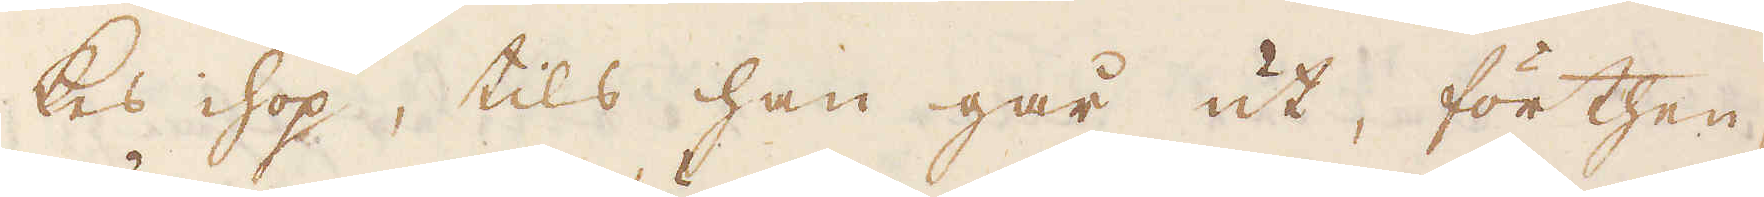kes ihop, tils han går ut, förthen-
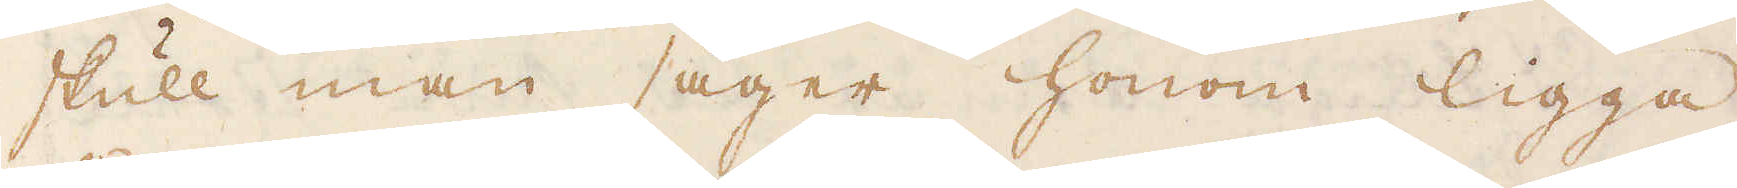skull man säger honom ligga
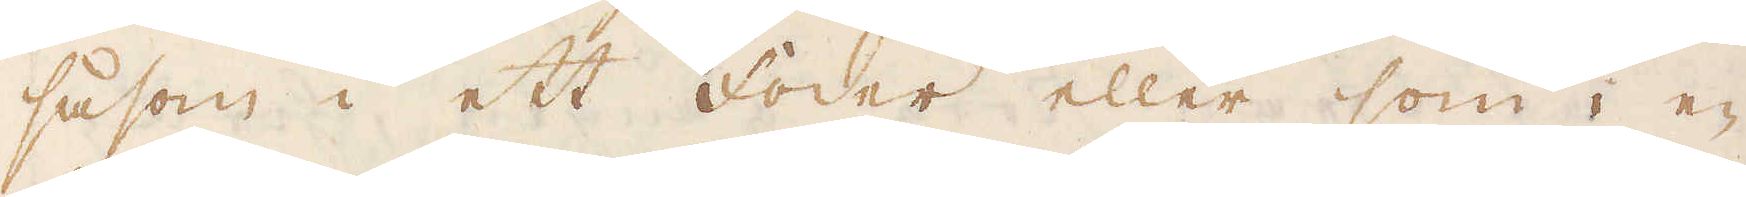såsom i ett Foder eller som i en
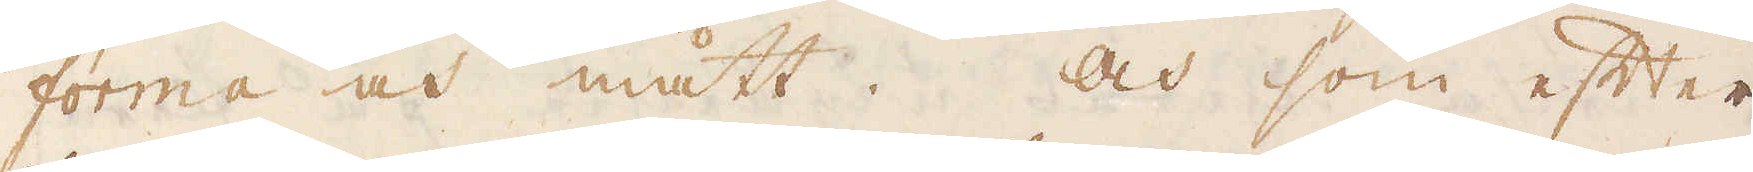forma och mått. Och som efter
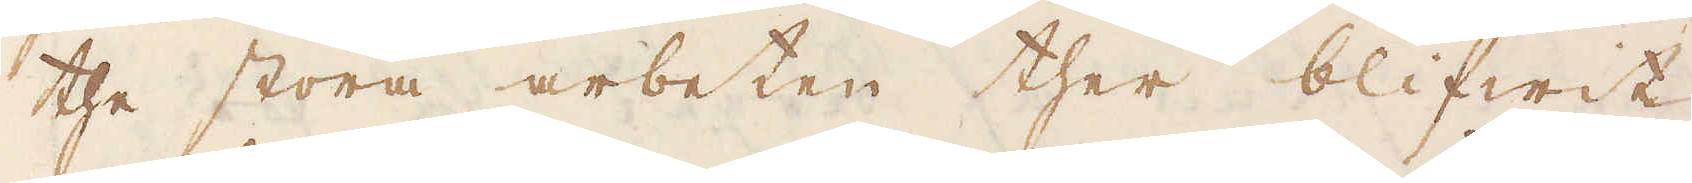the stora arbeten ther blifwit
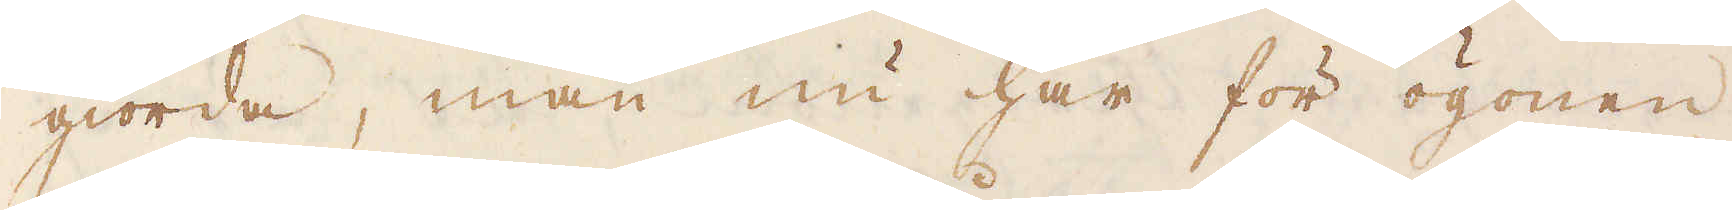giorda, man nu har för ögonen
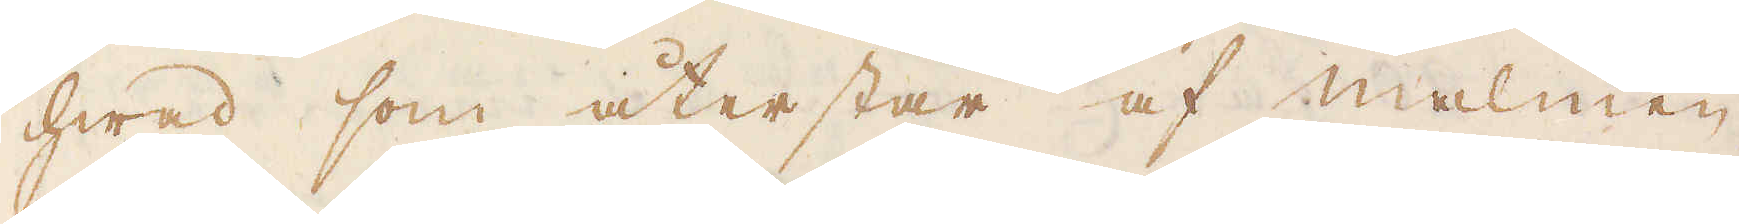hwad som återstår af malmen,
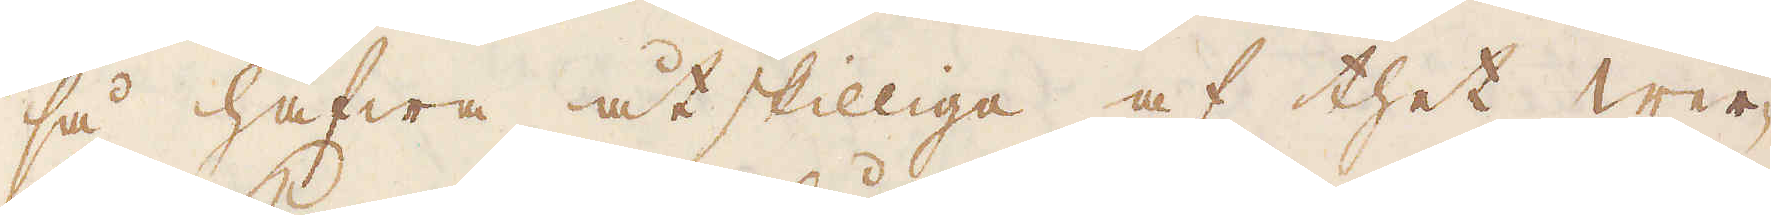så hafwa åtskilliga af thet wer-
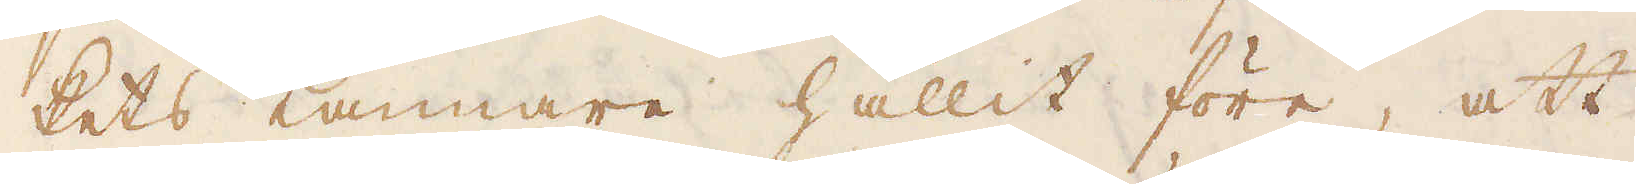kets Kannare hållit före, att
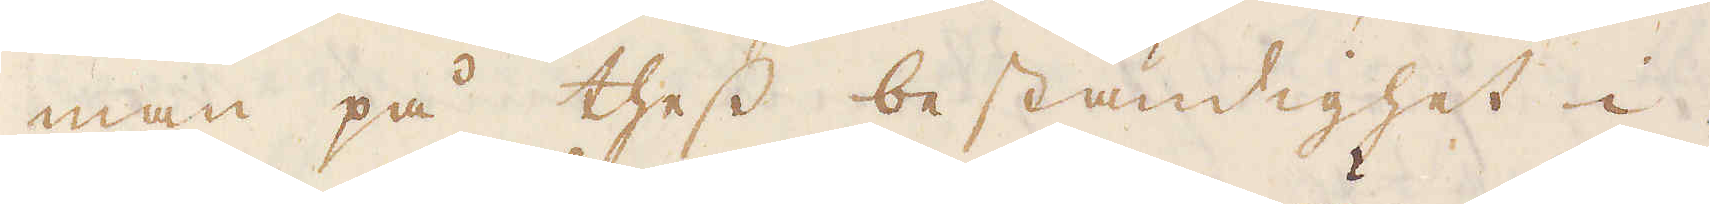man på thess beständighet i
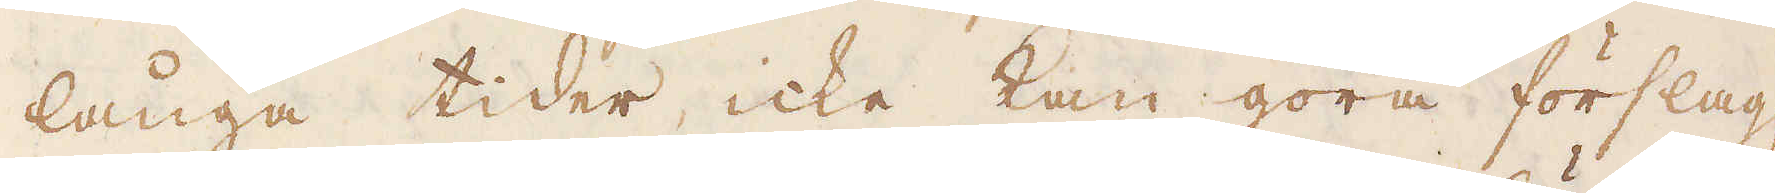långa tider, icke kan göra förslag;
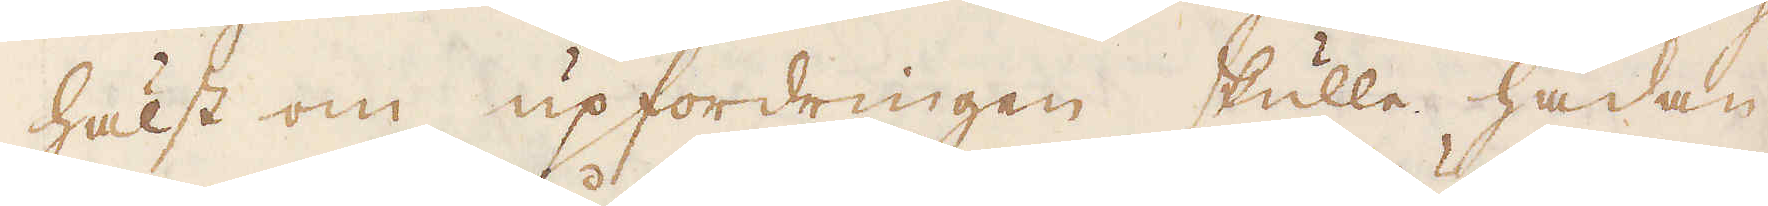hälst om upfordringen skulle hädan-
